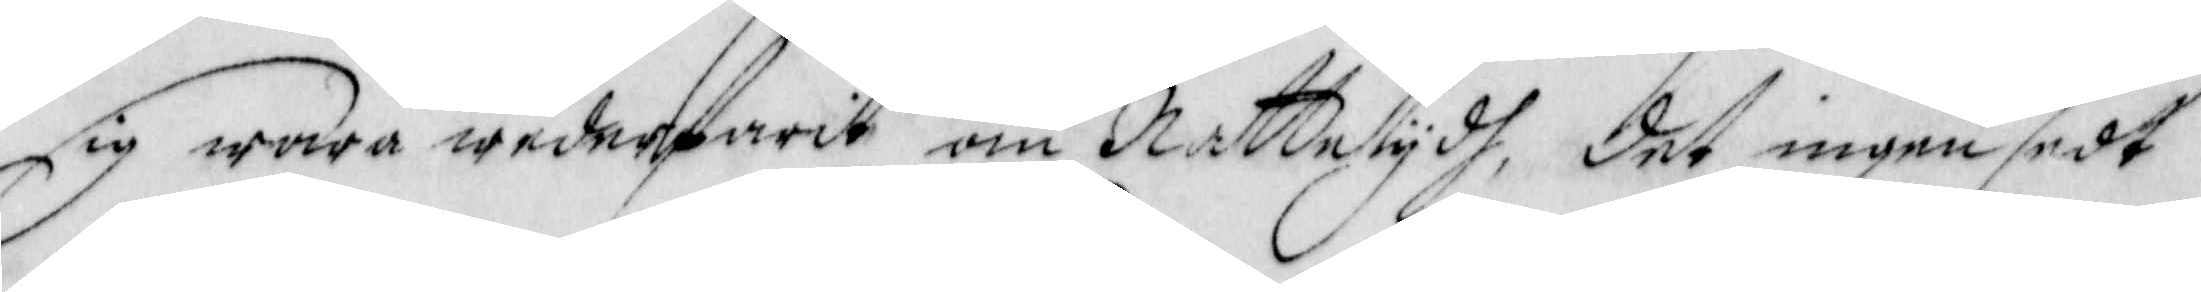sig wara wederfarit om Nattetydh, det ingen sedt
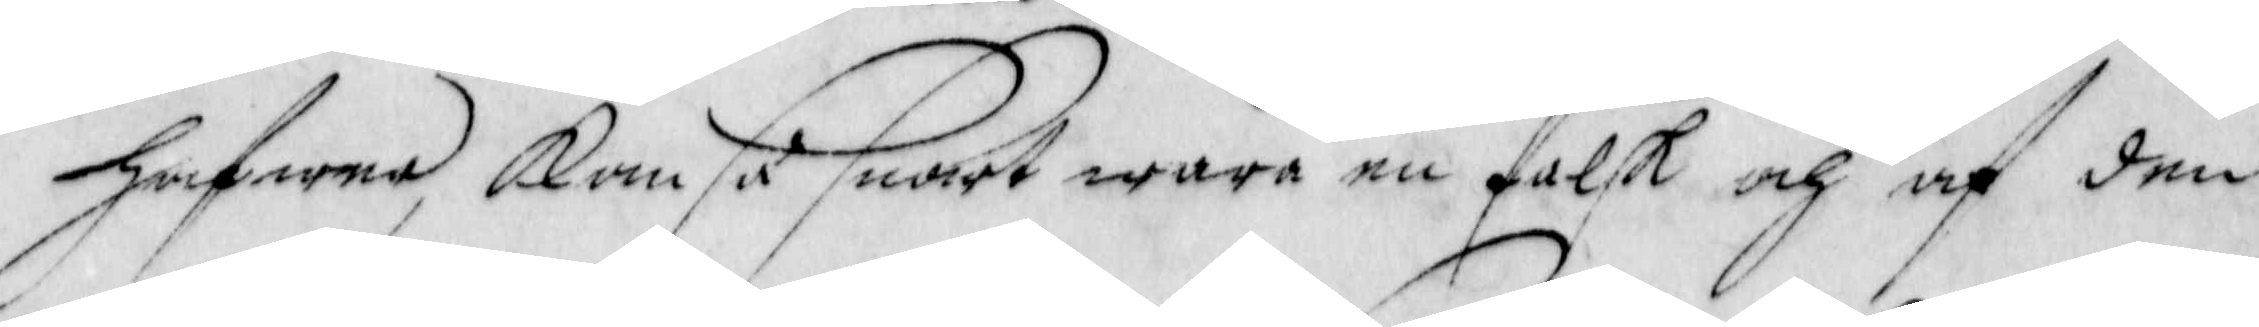hafwer, Kom så snart ware en falsk och af den
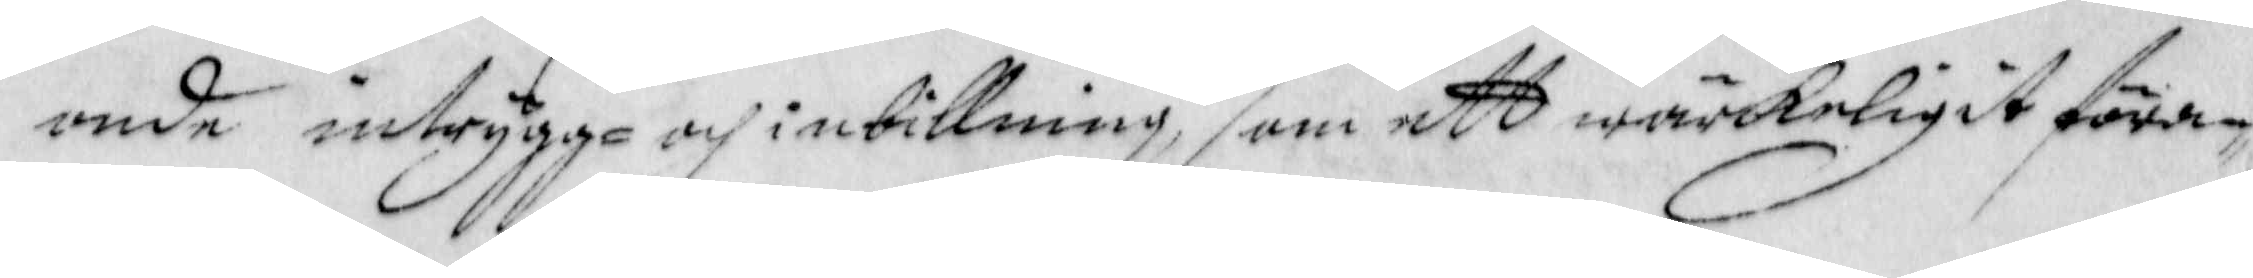onde intrygga och inbillning, som ett wärkeligit föran¬
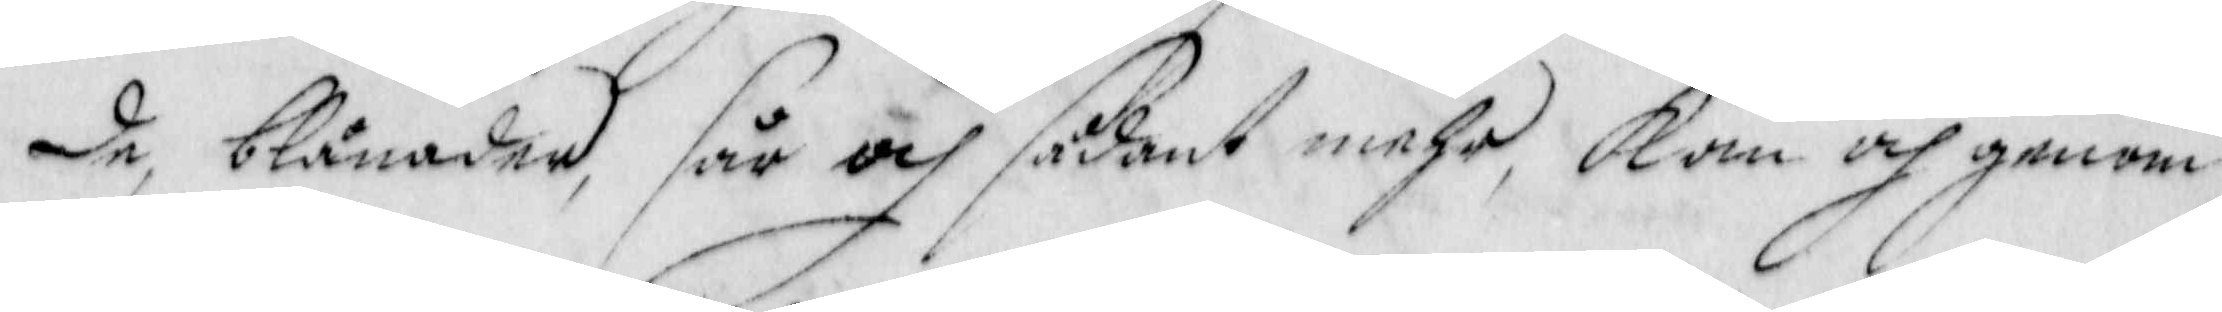de, blånader, sår och sådant mehr, Kan och genom
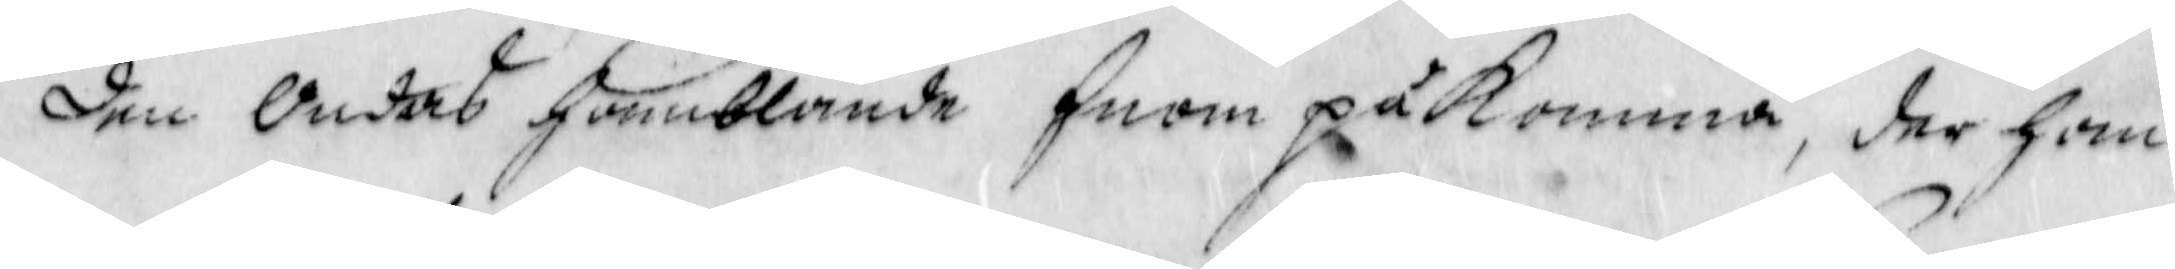den Ondas hamblande Enom påkomma, der han
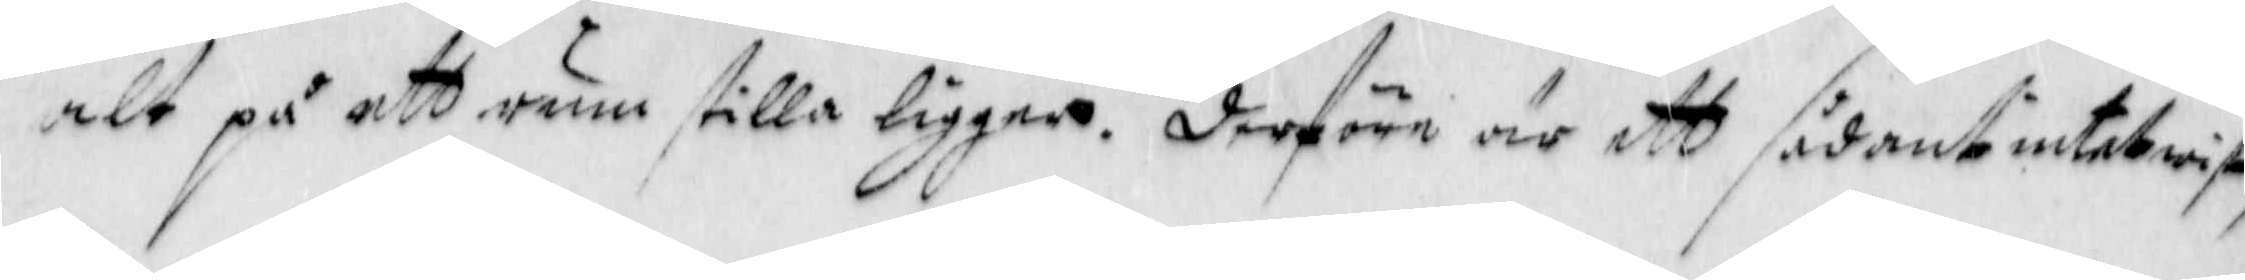alt på att rum stilla ligger. Derföre är ett sådant intet wis,
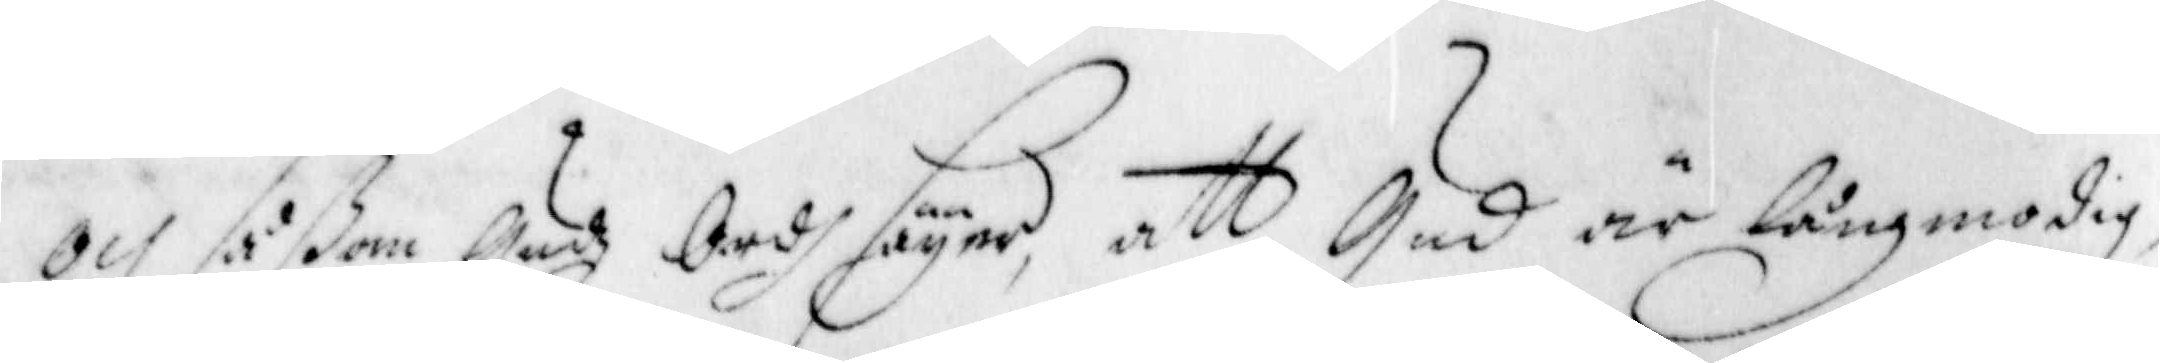och såßom Gudz Ordh säyer, att Gud är långmodig
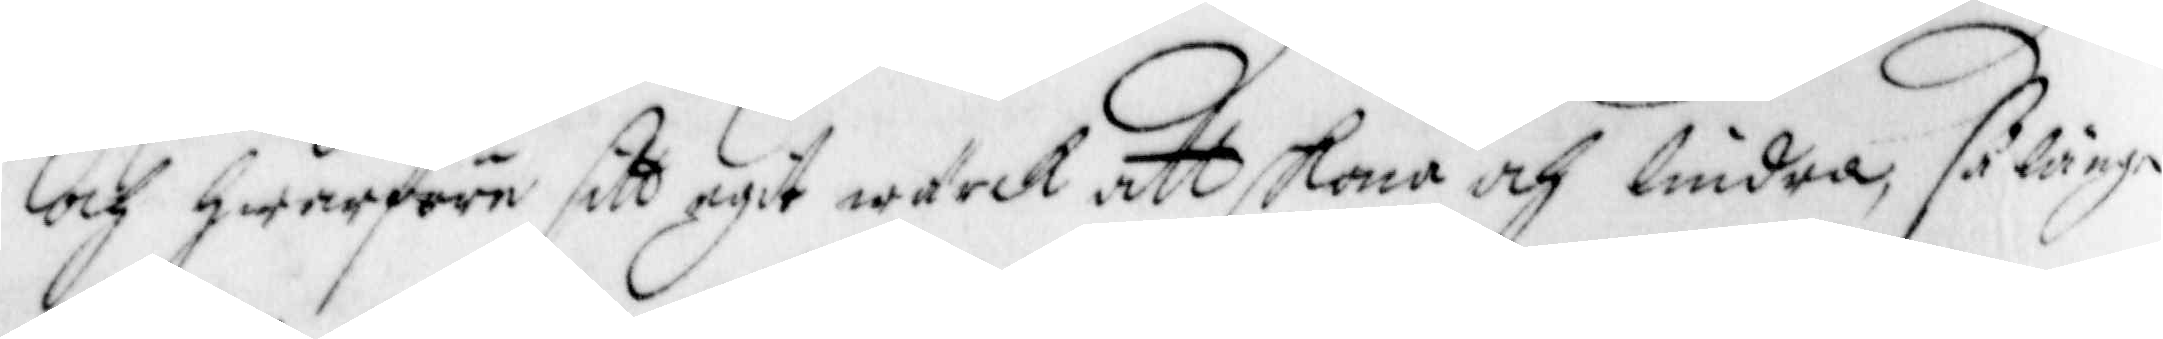och hwarföre sitt egit wärck att skona och lindra, så länge
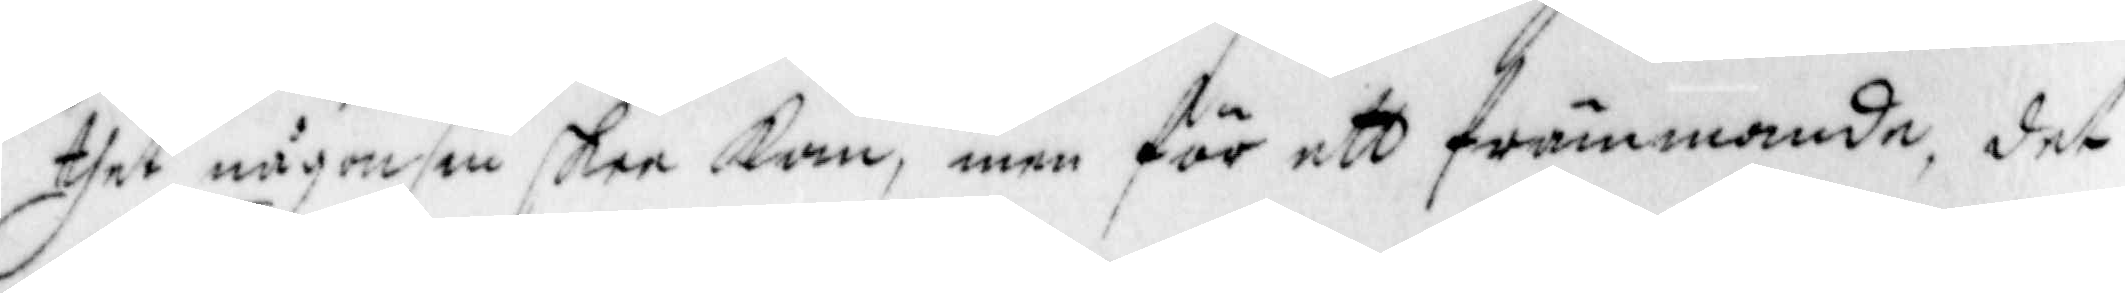thet någonsin skee kan, men för ett främmande, det
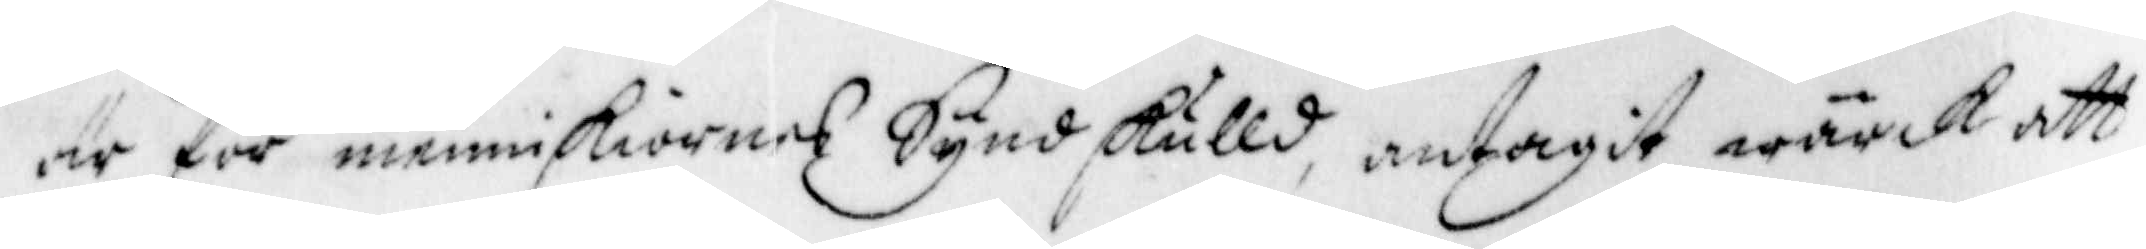är för menniskiornes Synd skulld, antagit wärck att
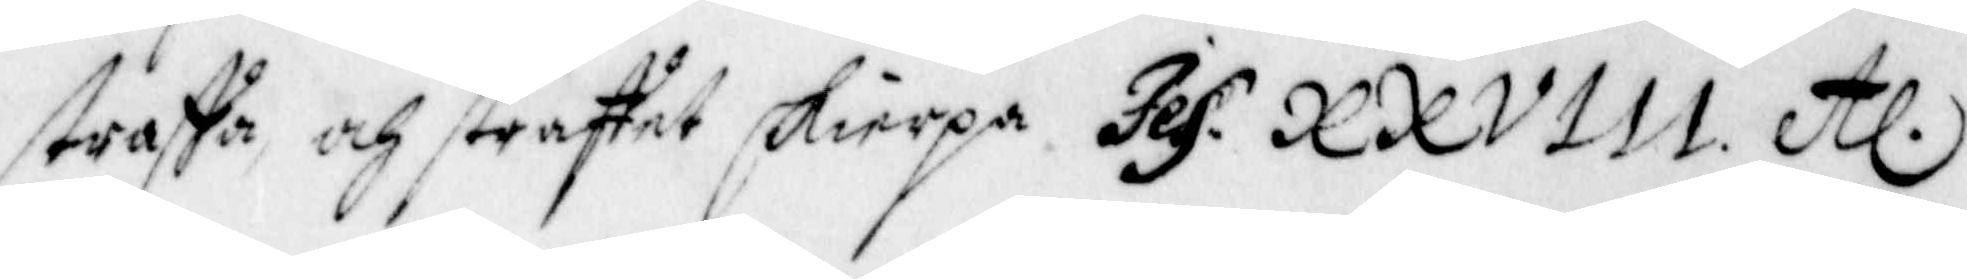straffa, och straffet skierpa Jes. XXVIII etc.
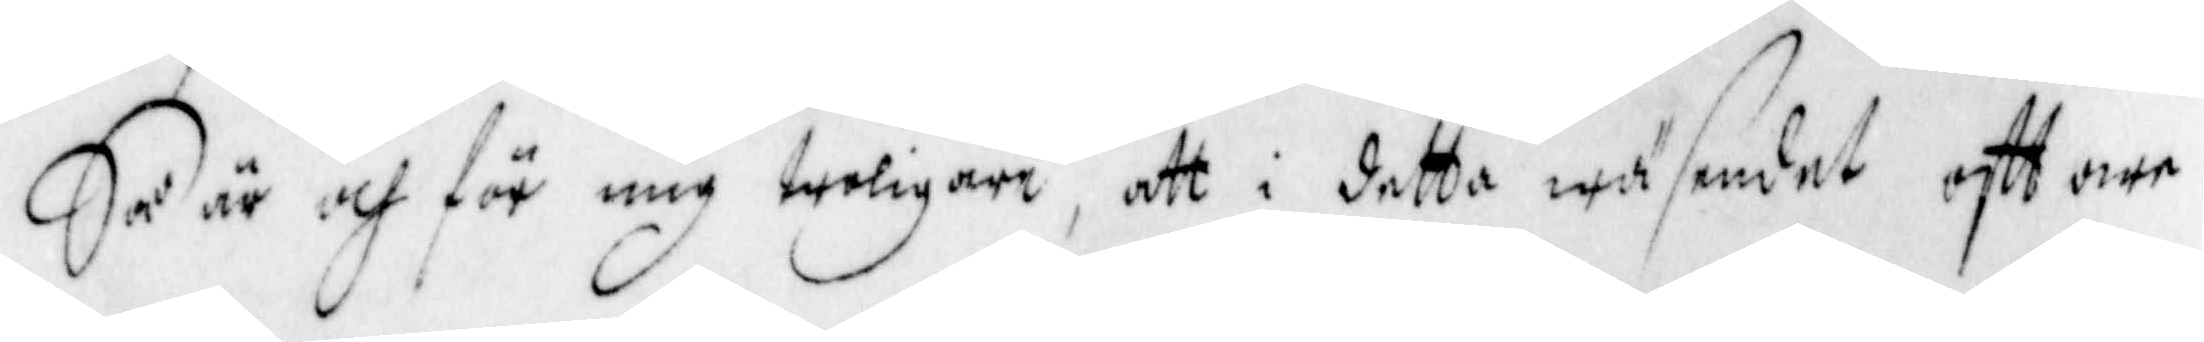Så är och för mig troligare, att i detta wäsendet, ofttare
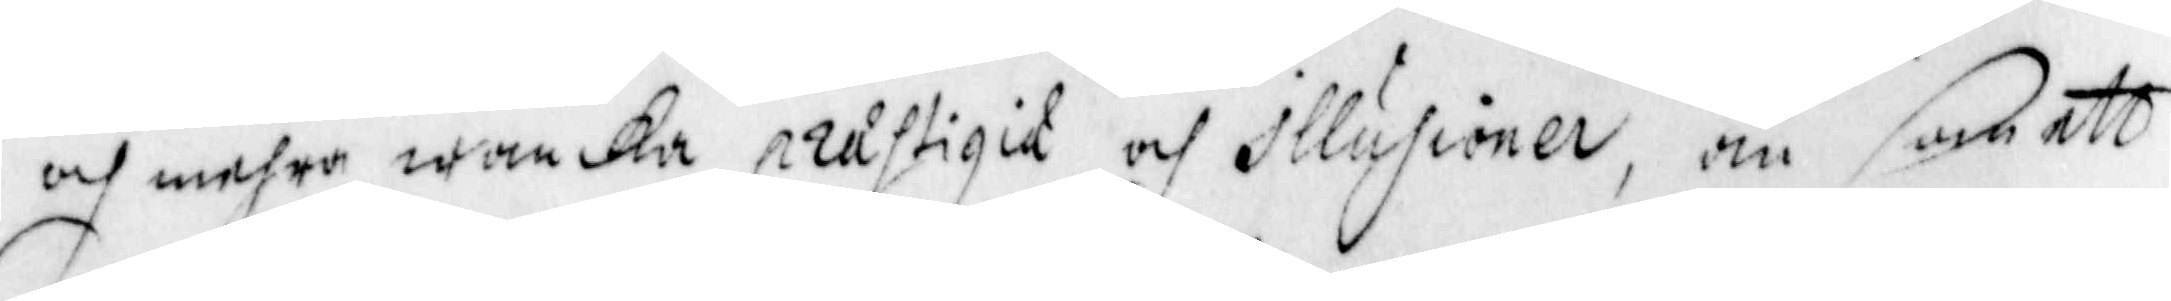och mehra wanka prustigit och illusioner, än som att
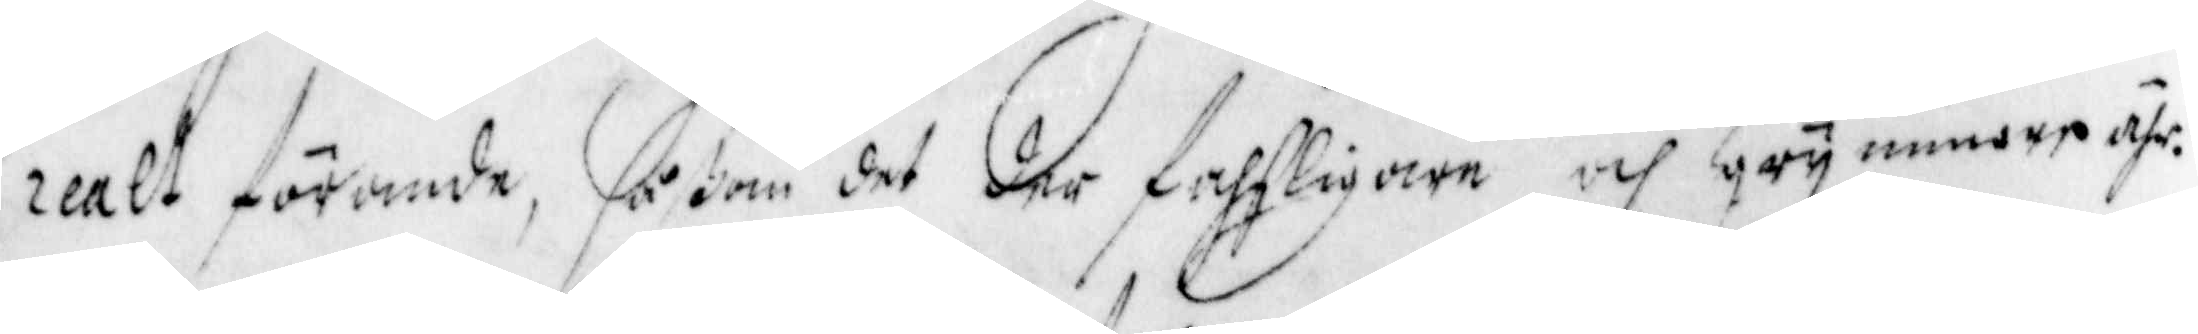realt förande, såßom det der fahsligare och grymmare ähr.
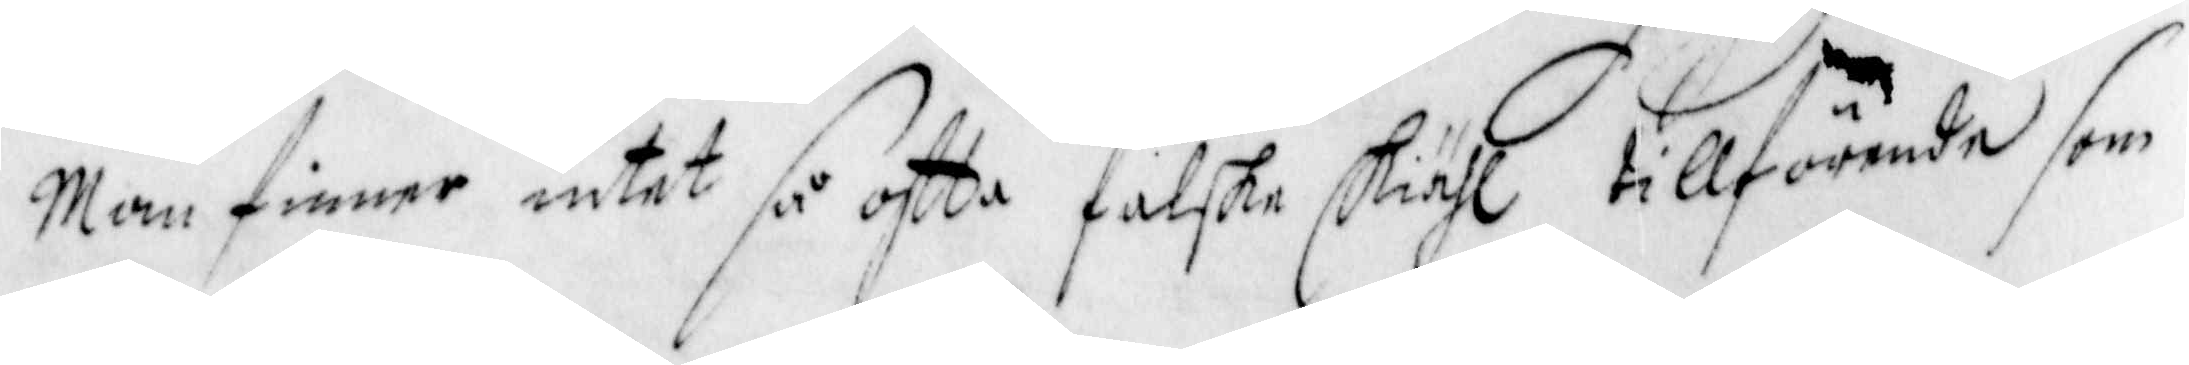Men finner intet så oftta falska skiähl tillförende som
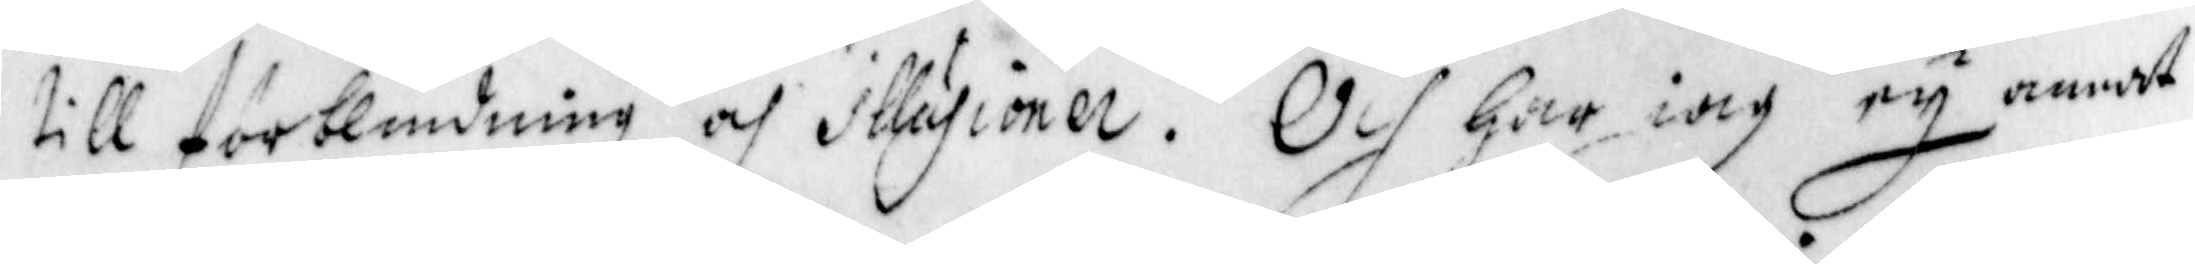till förblindning och illusioner. och har iag ey annat
